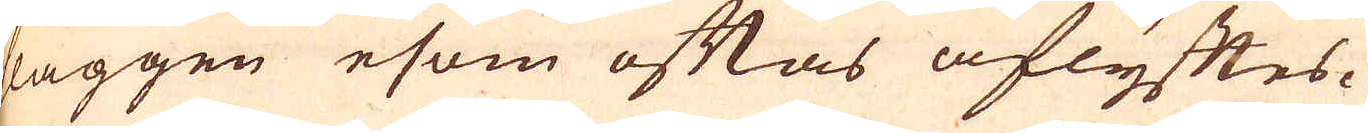slaggen esom oftas aflyftes.
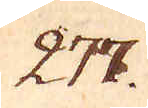277.
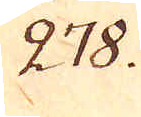278.
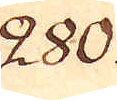280.
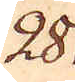281.
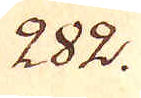282.
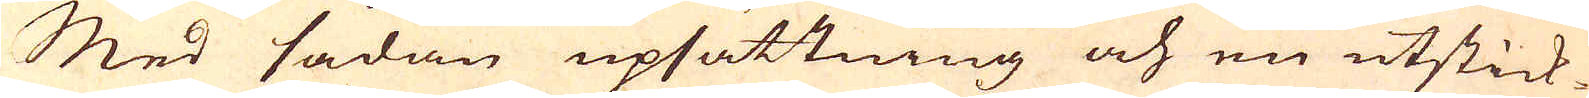Med sådan upsättning och en utstick-
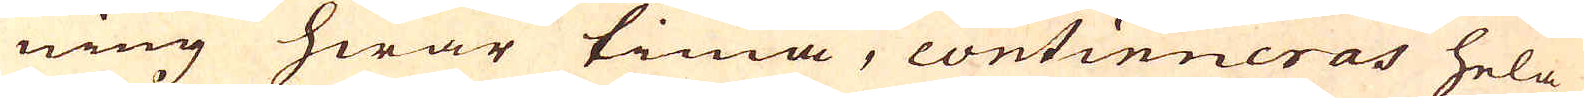ning hwar tima, continueras hela
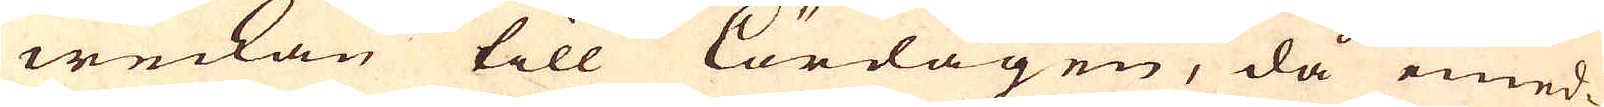weckan till lördagen, då emed-
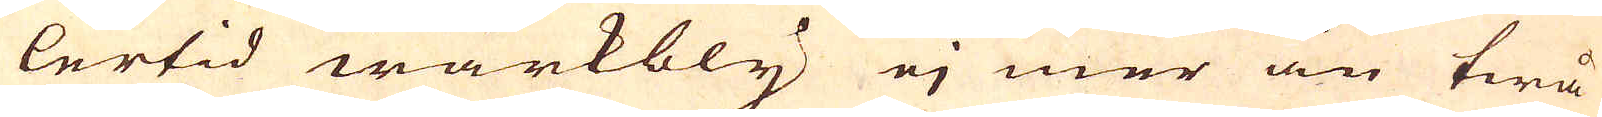lertid wärkbly ej mer än twå
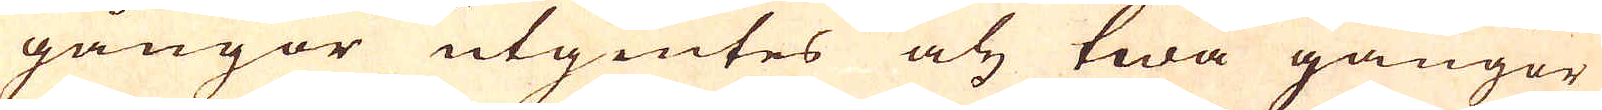gångor utgiutes och twå gångor
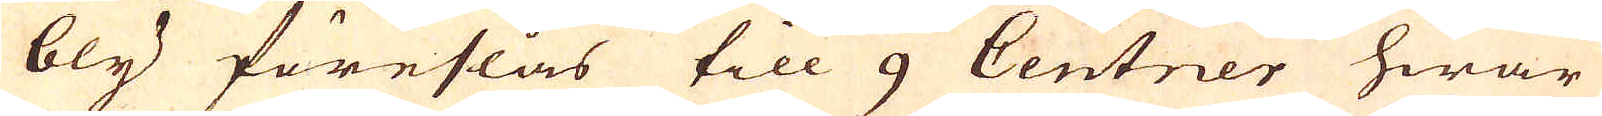bly föreslås till 9 Centner hwar
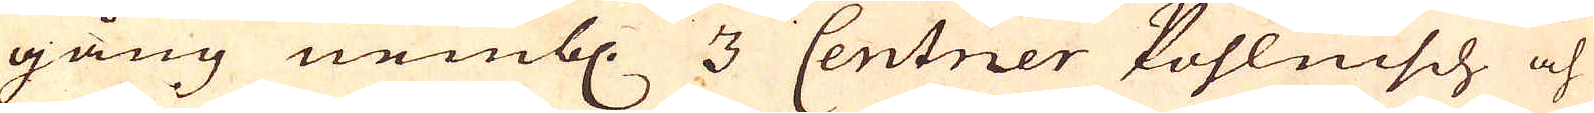gång nembl. 3 Centner kohlnisch och
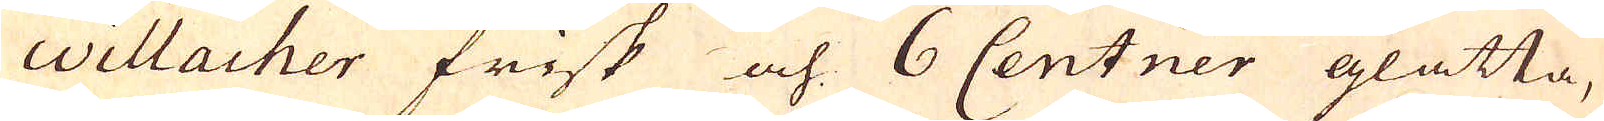willacher frisk och 6 Centner glatta,
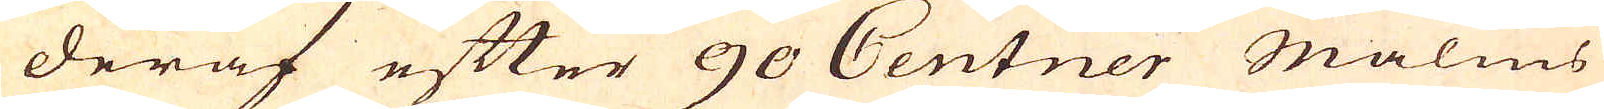deraf efter 90 Centner Malms
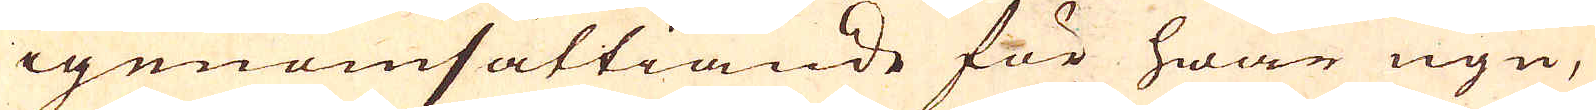igenomsättiande för hwar ugn,
